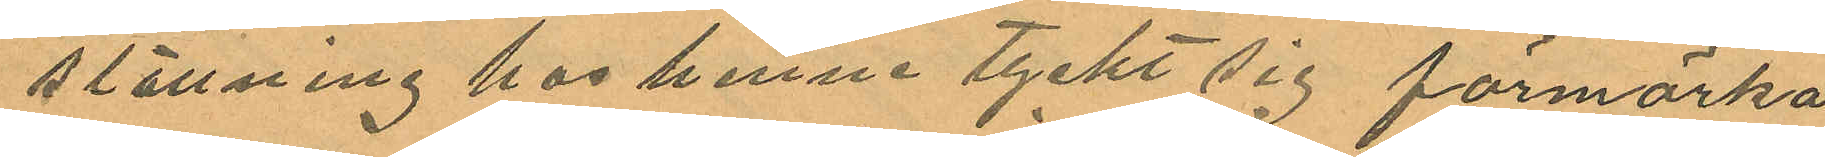ställning hos henne tyckt sig förmärka
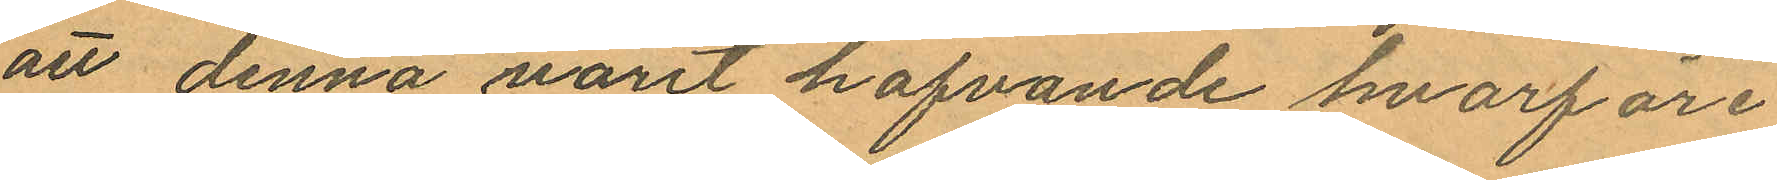att denna varit hafvande hvarföre¬
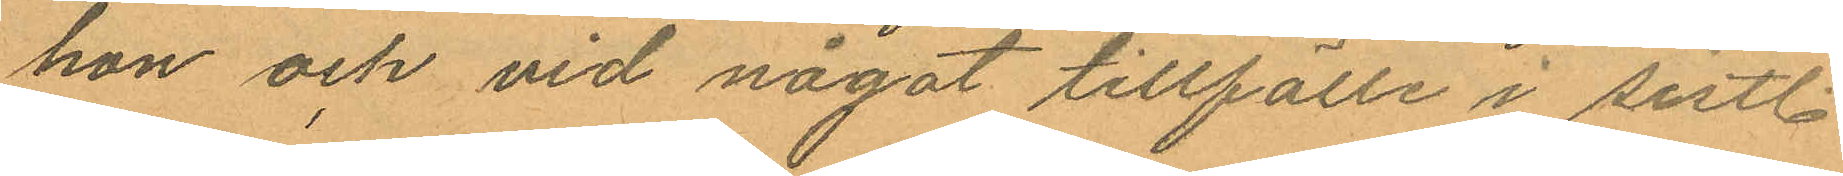hon och vid något tillfälle i sistl.
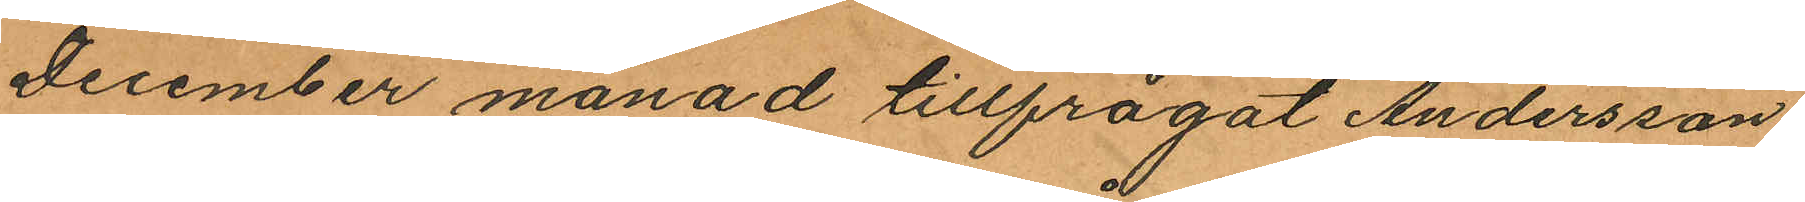December månad tillfrågat Andersson
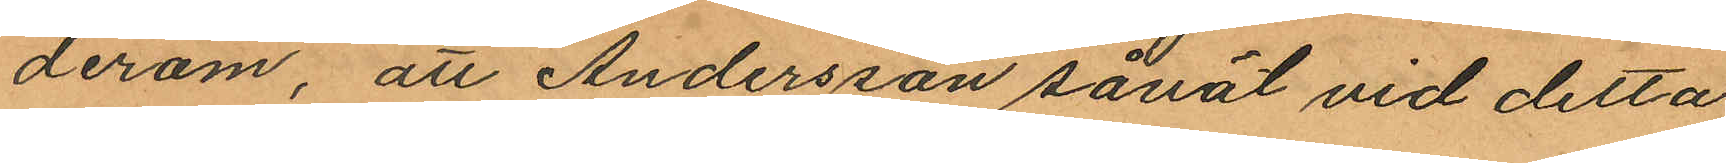derom, att Andersson såväl vid detta
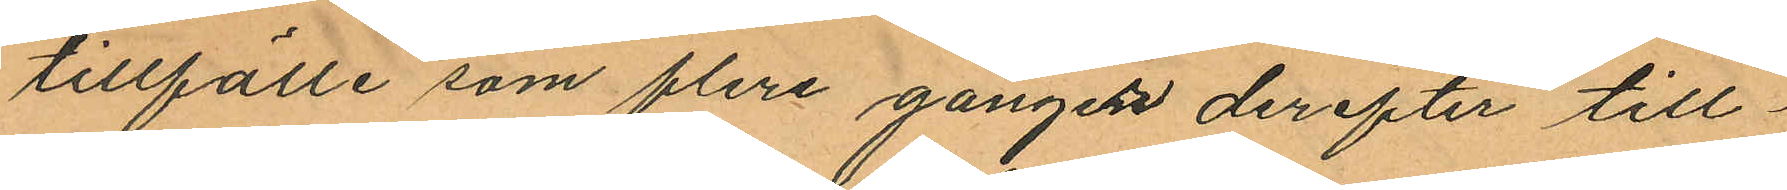tillfälle som flera gången derefter till¬
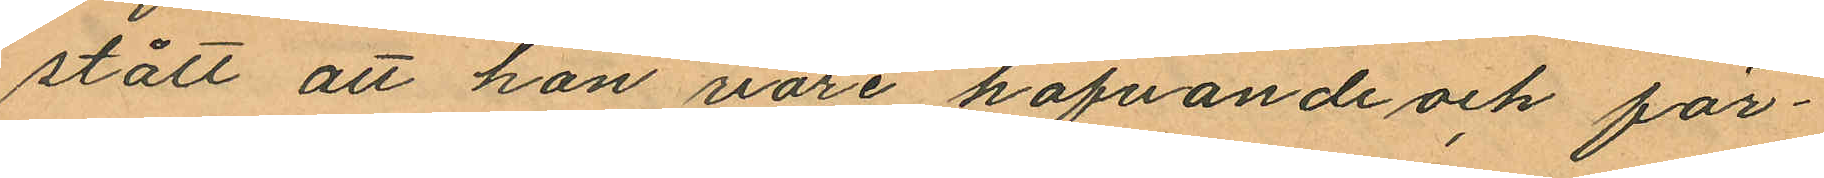stått att hon vore hafvande och för¬
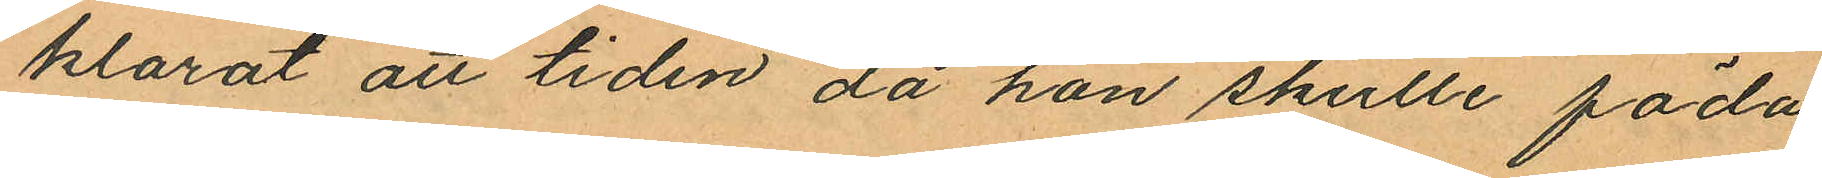klarat att tiden då hon skulle föda
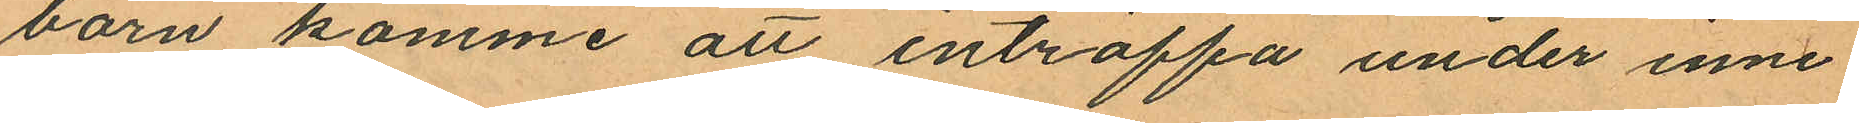barn komme att inträffa under inne¬
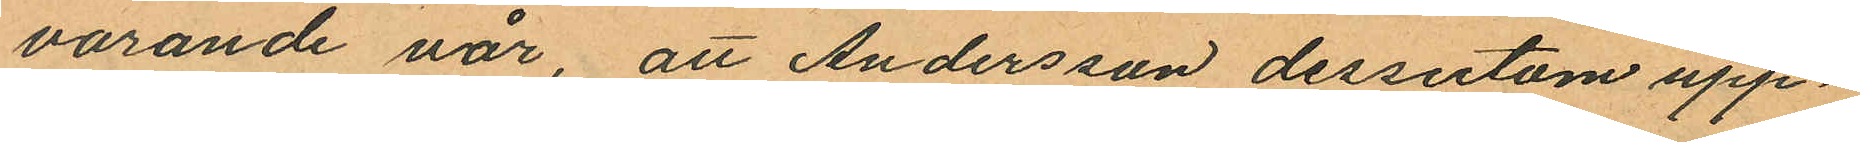varande vår, att Andersson dessutom upp¬
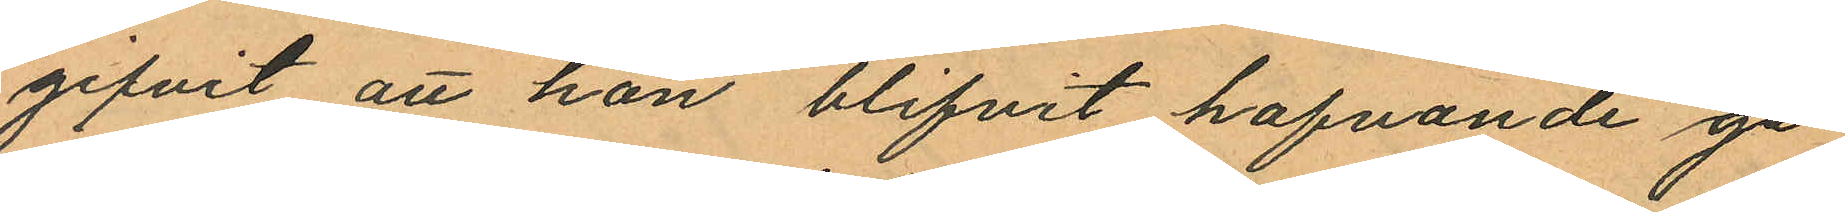gifvit att hon blifvit hafvande ge¬
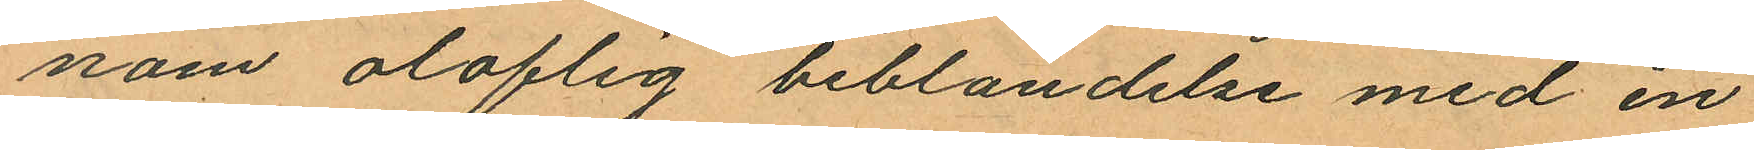nom oloflig beblandelse med en
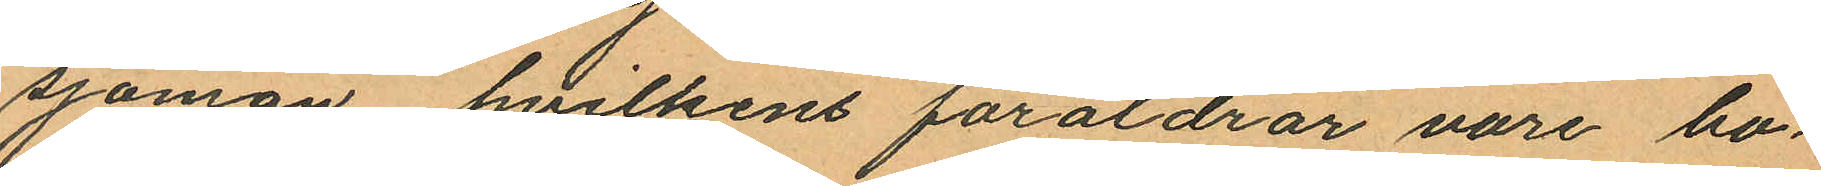sjöman, hvilkens föräldrar vore bo¬
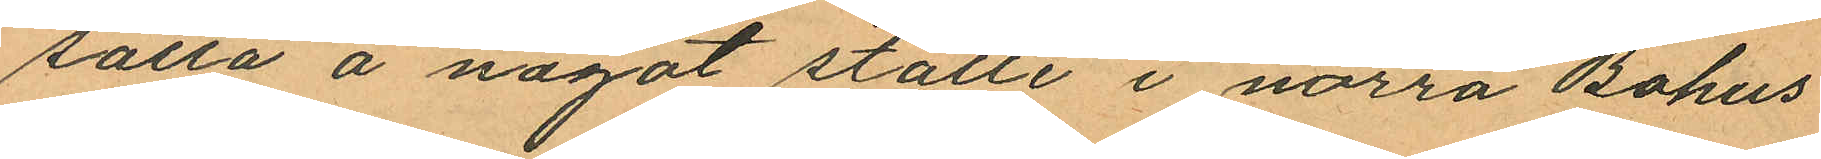satta å något ställe i norra Bohus
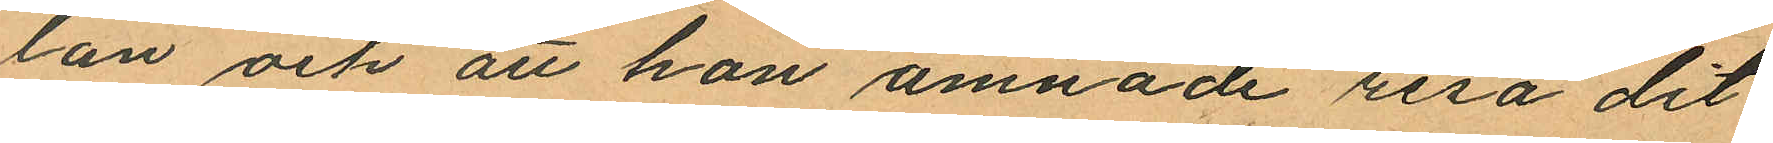län och att hon ämnade resa dit
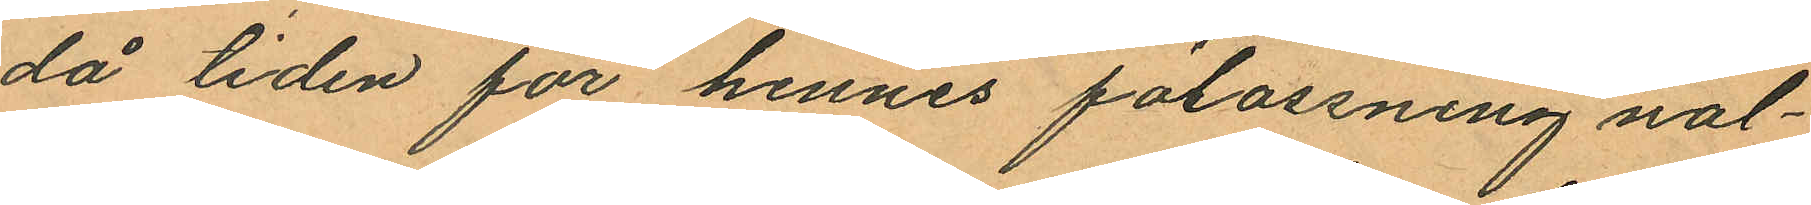då tiden för hennes förlossning nal¬
